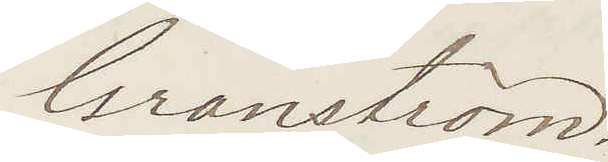Granström.
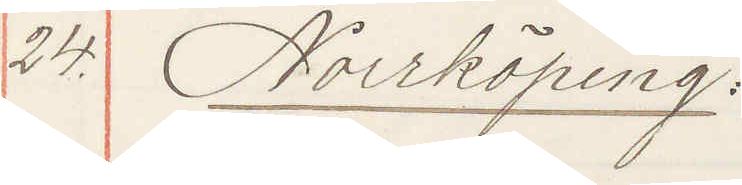24. Norrköping.
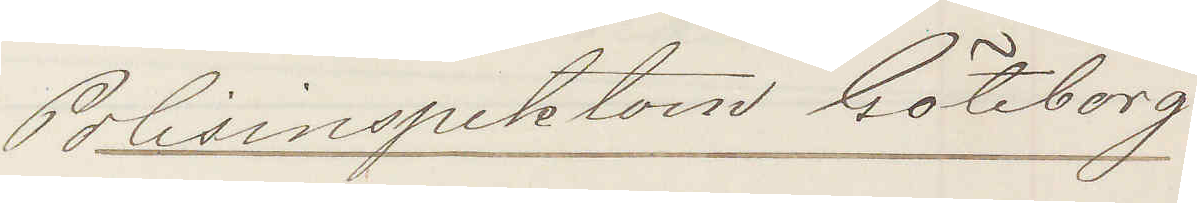Polisinspektorn Göteborg
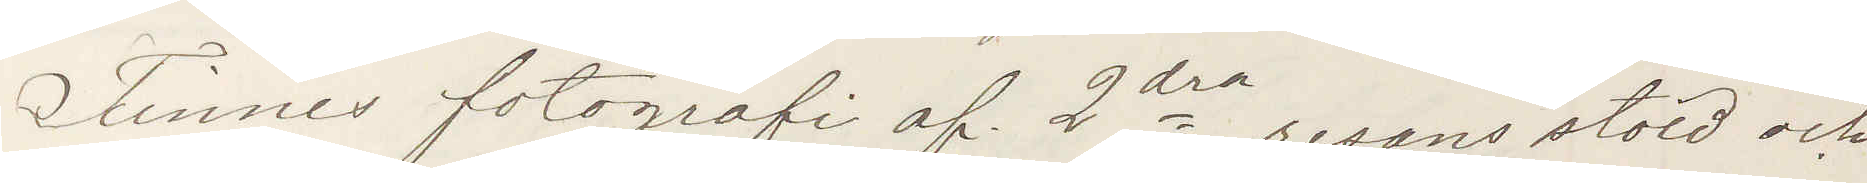Finnes fotografi af 2dra resans stöld och
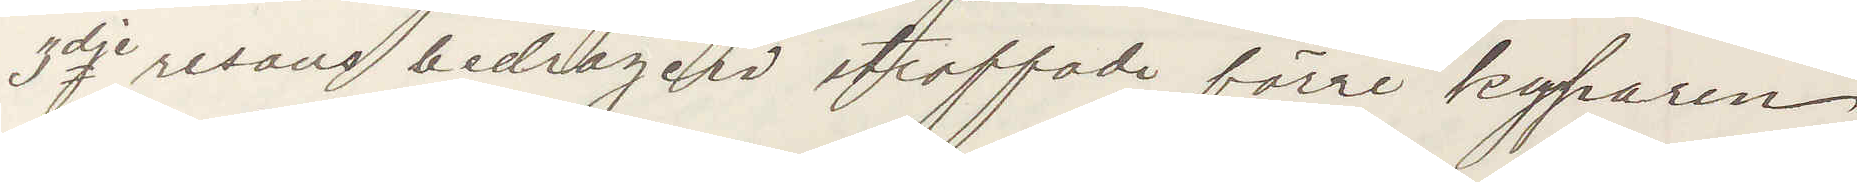3dje resans bedrägeri straffade förre kyparen
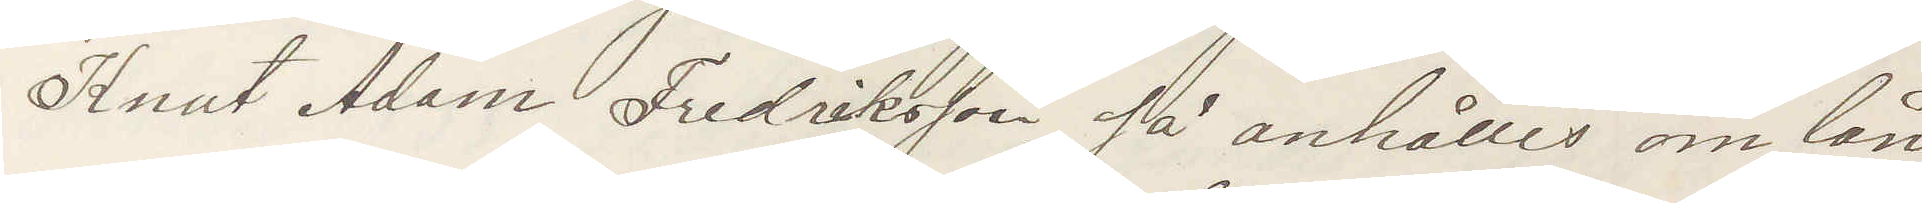Knut Adam Fredriksson så anhålles om lån
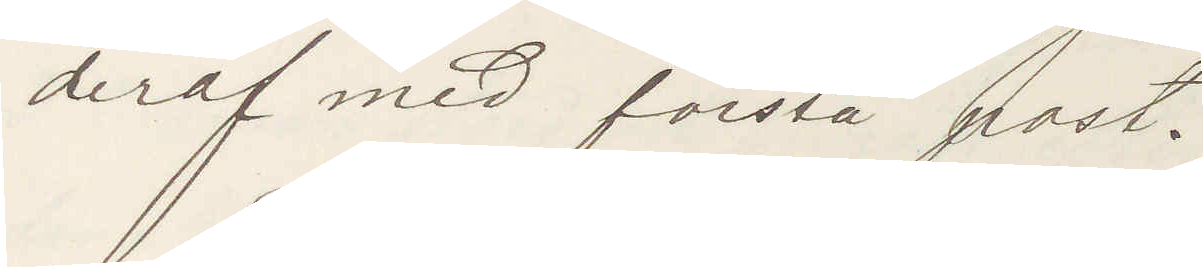deraf med första post.
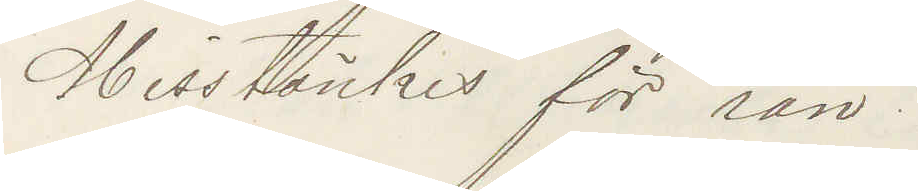Misstänkes för rån!
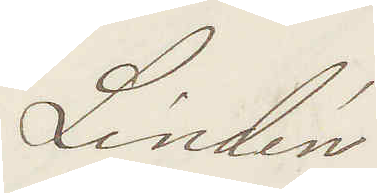Lindén
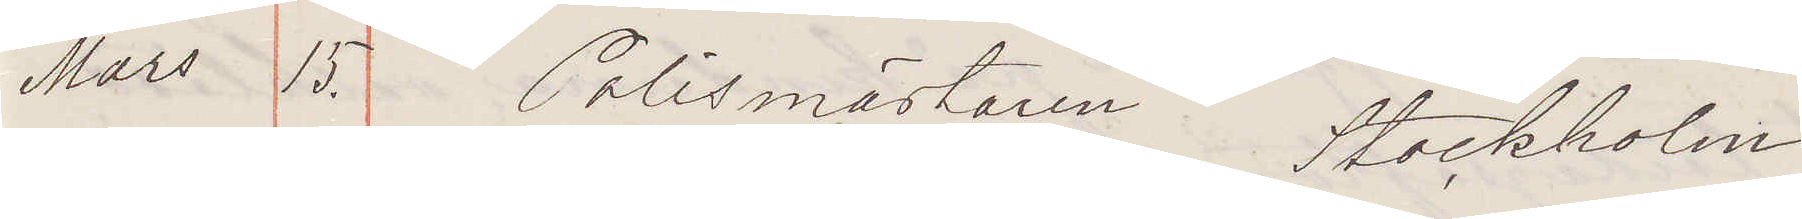Mars 15. Polismästaren Stockholm
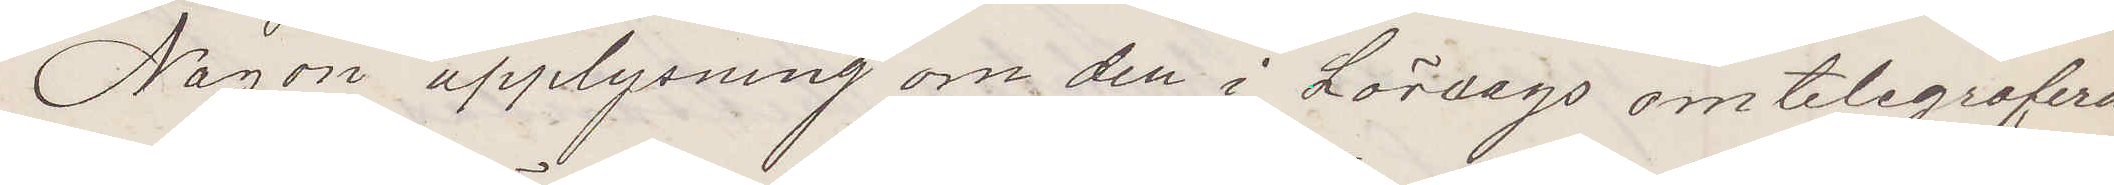Någon upplysning om den i Lördags omtelegrafera¬
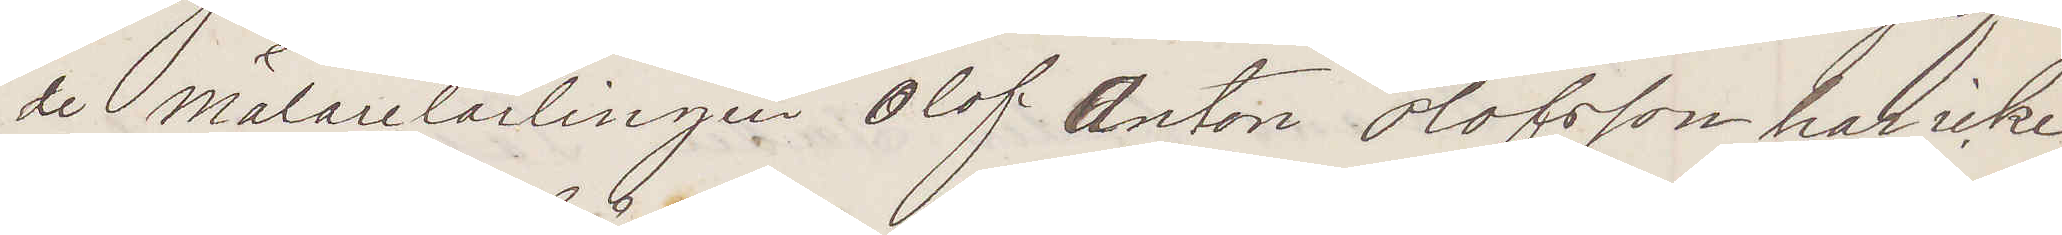de Målarelärlingen Olof Anton Olofsson har icke
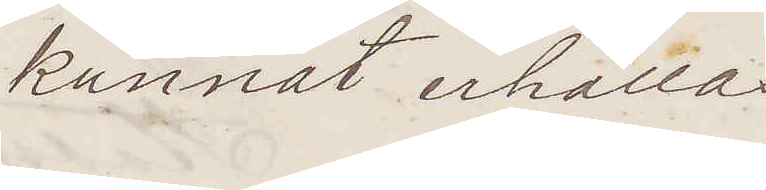kunnat erhållas
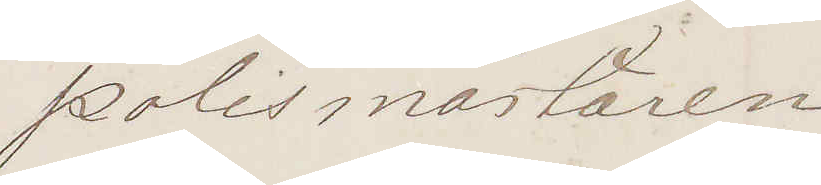Polismästaren
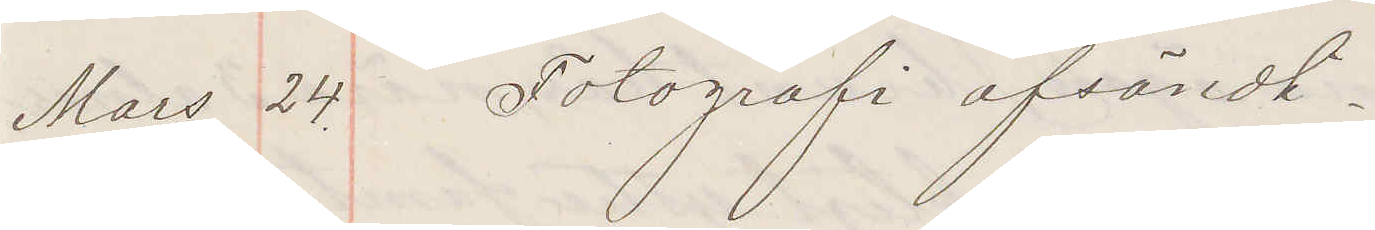Mars 24. Fotografi afsändt.
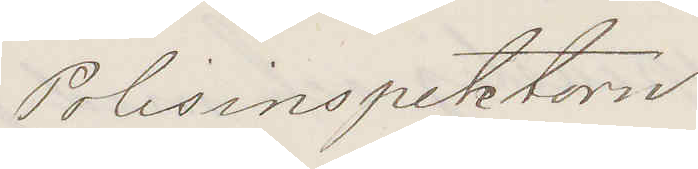Polisinspektorn
